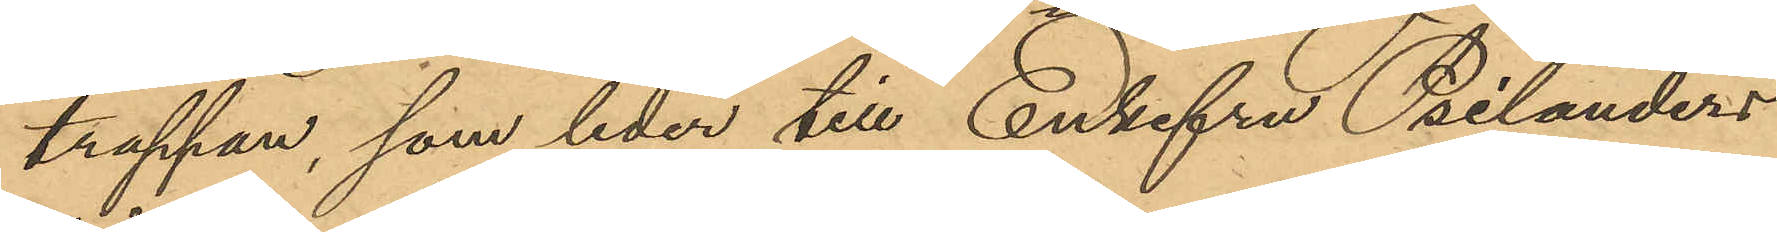trappan, som leder till Enkefru Psilanders
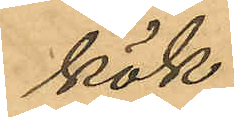kök.
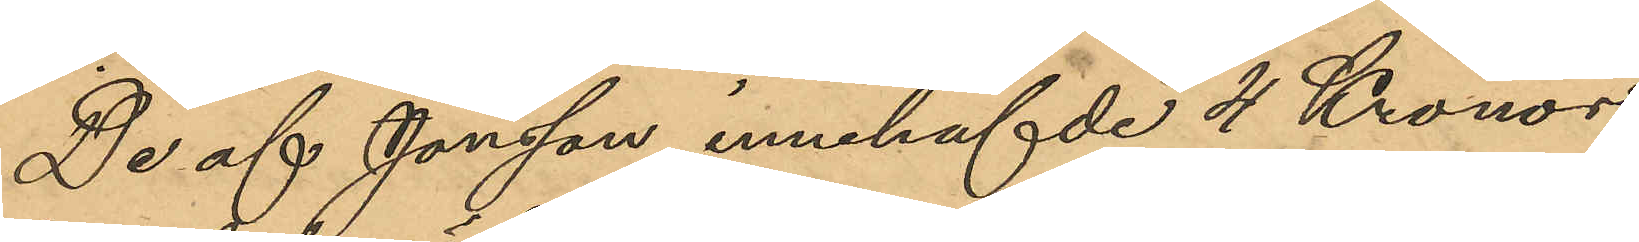De af Jonsson innehafde 4 Kronor
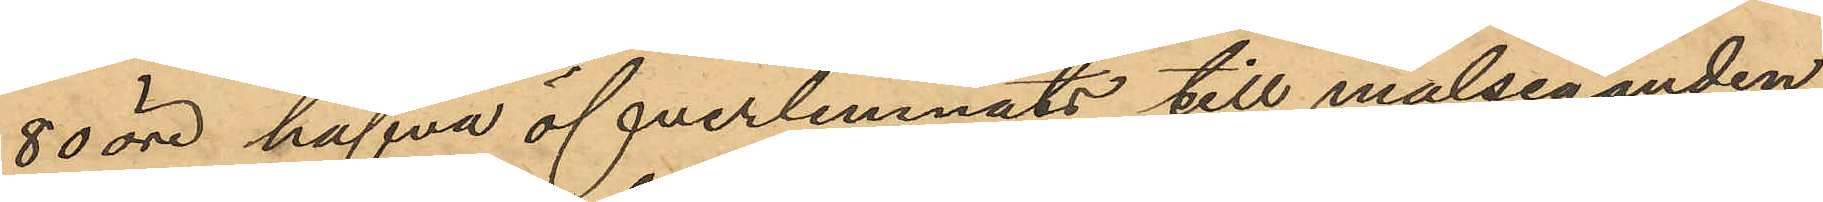80 öre hafva öfverlemnats till målseganden
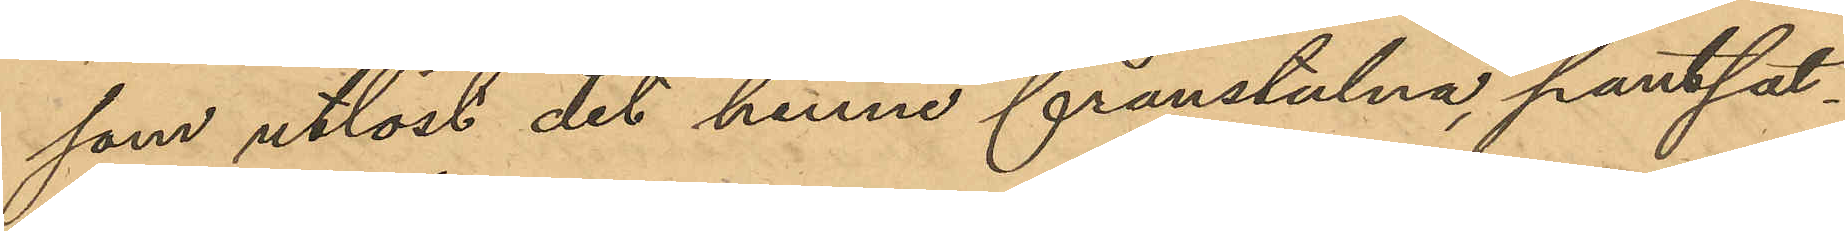som utlöst det henne frånstulna, pantsat¬
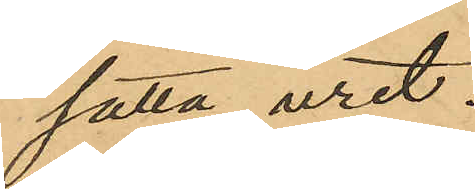satta uret.
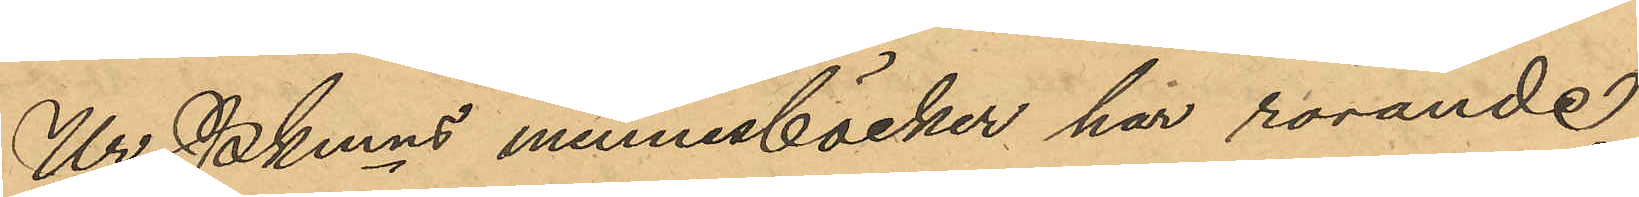Ur Pkmns minnesböcker har rörande
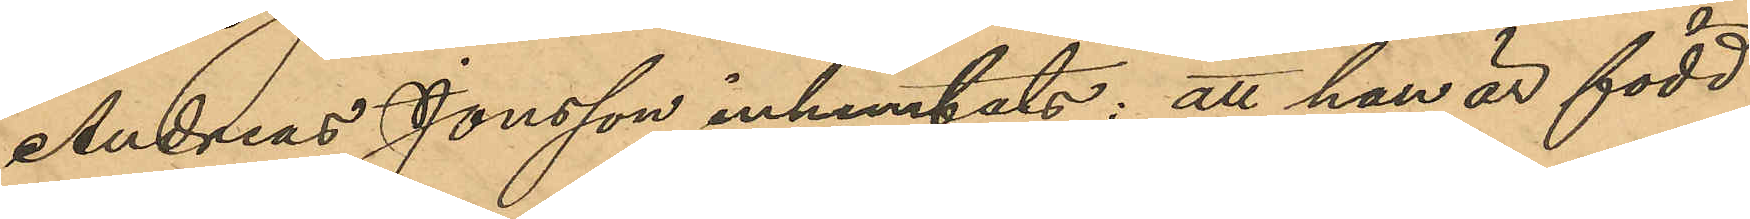Andreas Jonsson inhemtats: att han är född
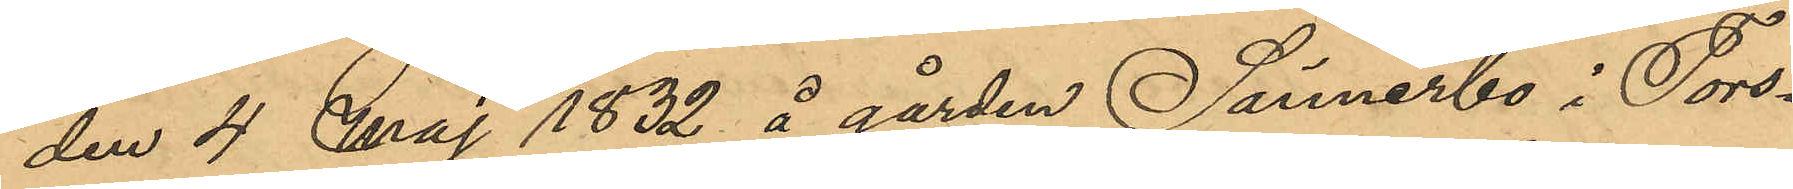den 4 Maj 1832 å gården Särnerbo i Tors¬
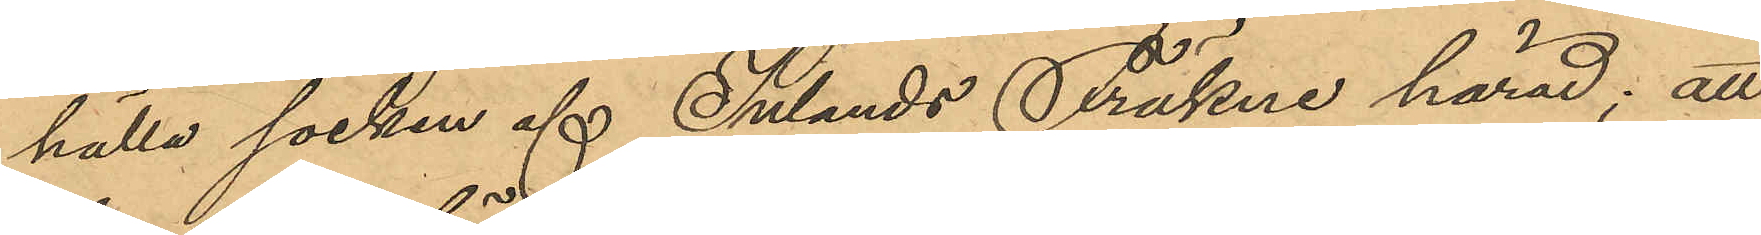hälla socken af Inlands Fräkne härad; att
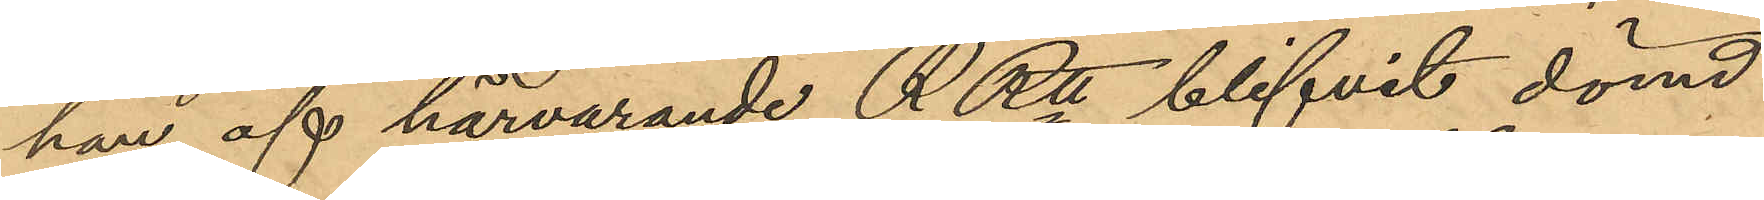han af härvarande RRtt blifvit dömd
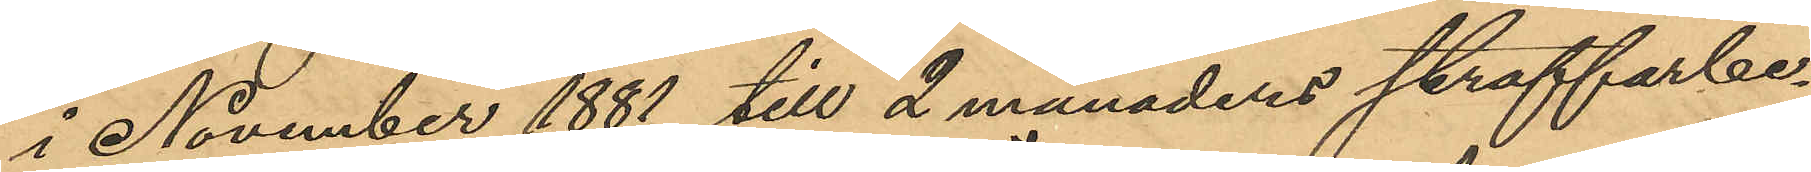i November 1881 till 2 månaders straffarbe¬
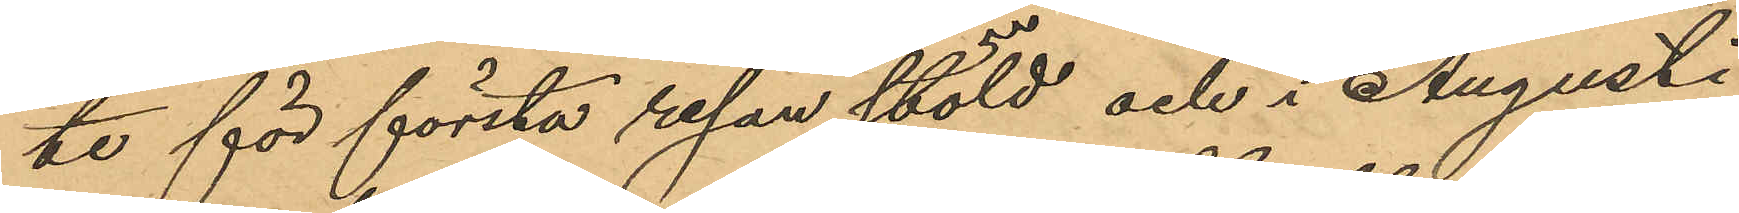te för första resan stöld och i Augusti
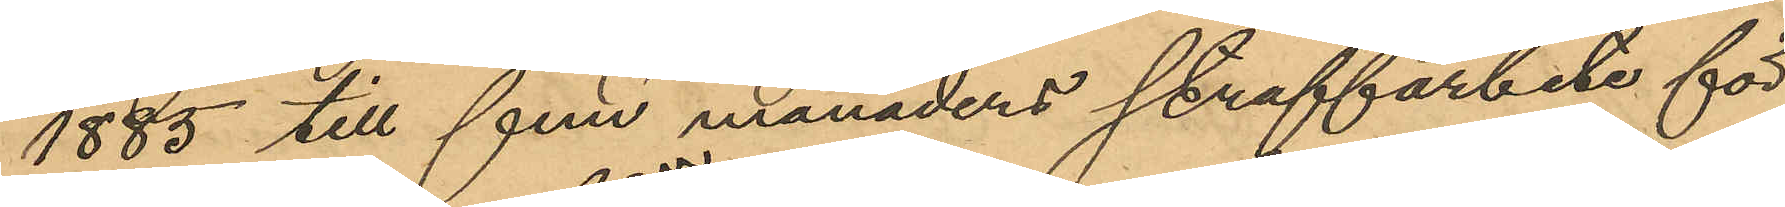1885 till fem månaders straffarbete för
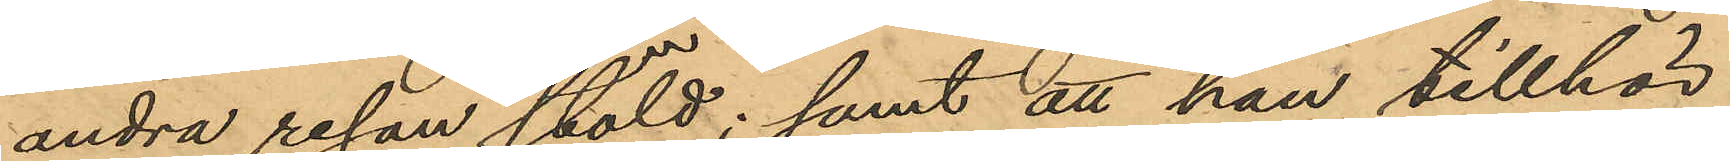andra resan stöld; samt att han tillhör
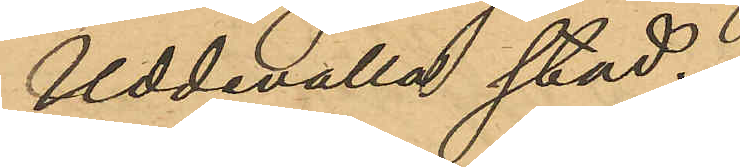Uddevalla stad.
